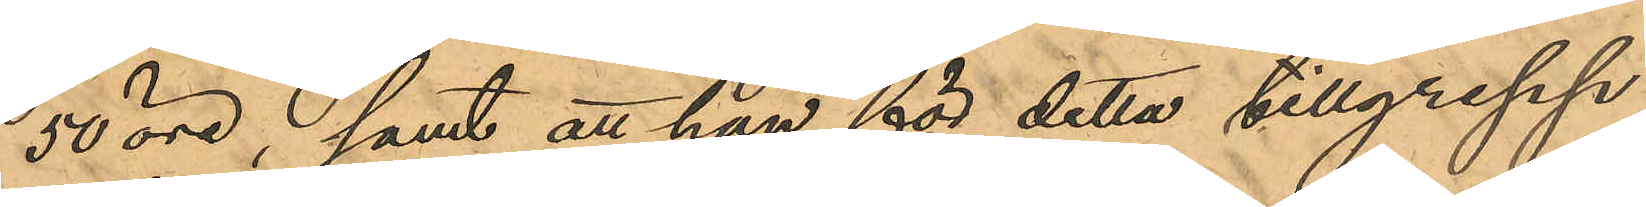50 öre; samt att han för detta tillgrepp
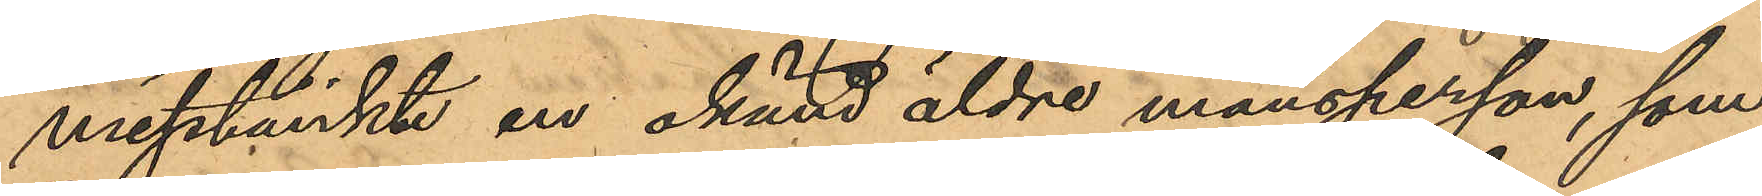misstänkte en okänd äldre mansperson, som
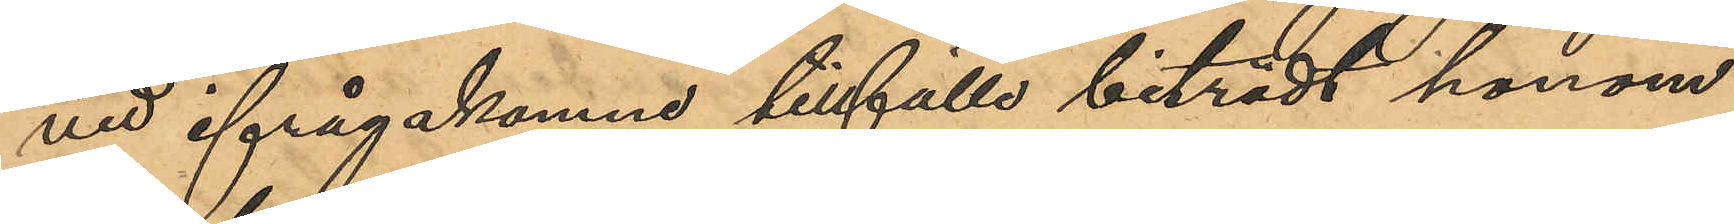vid ifrågakomne tillfälle biträdt honom
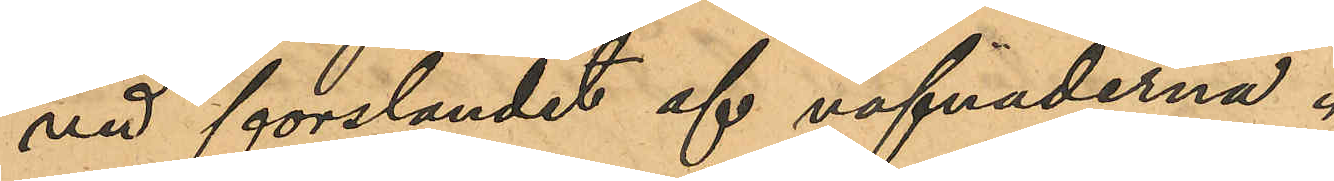vid forslandet af väfnaderna.
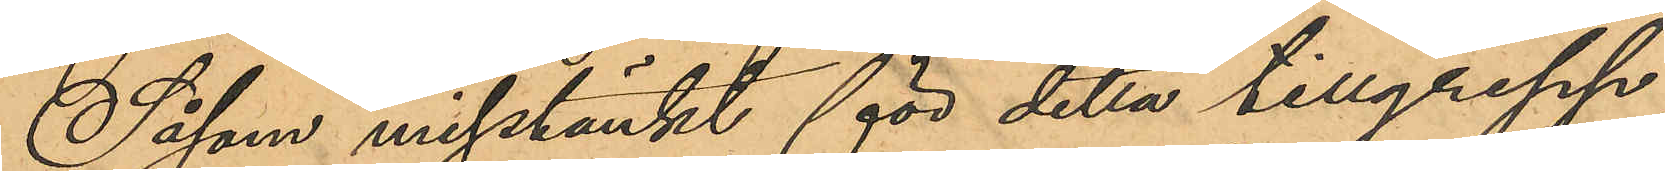Såsom misstänkt för detta tillgrepp
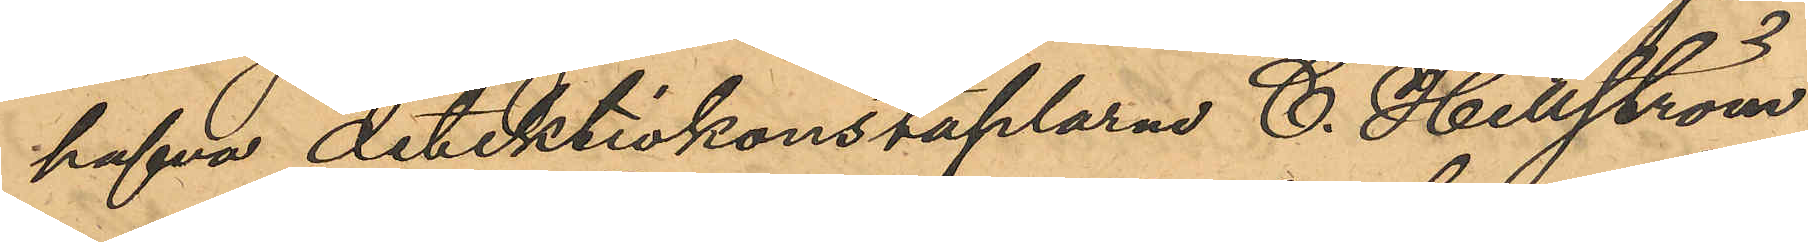hafva detektivkonstaplarne C. Hellström
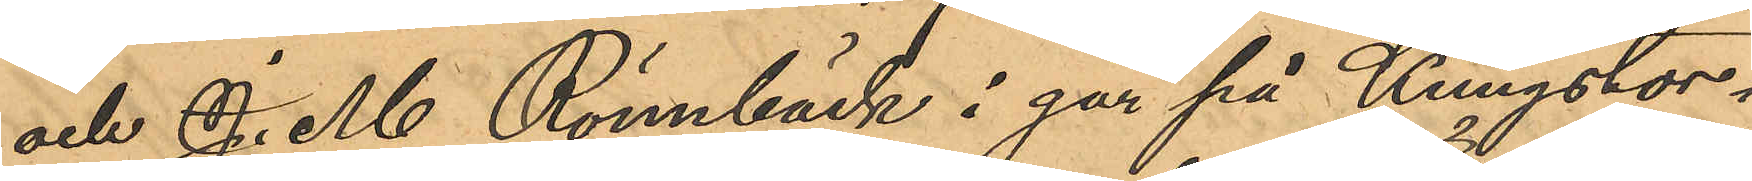och J. M. Rönnbäck i går på Kungstor¬
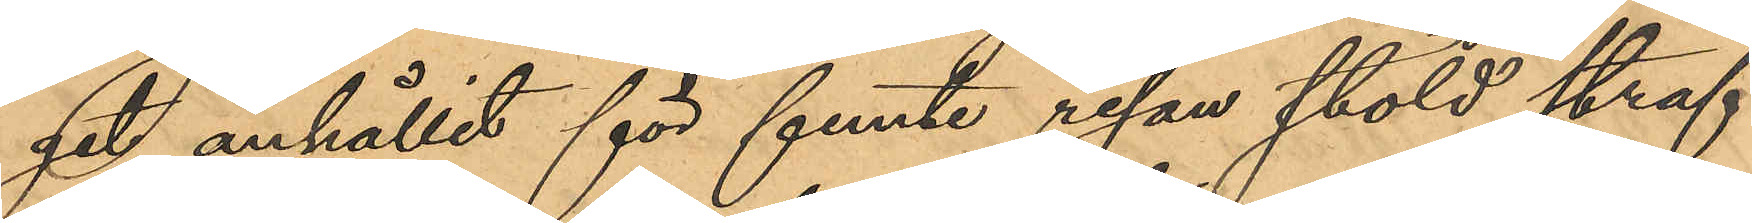get anhållit för femte resan stöld straf¬
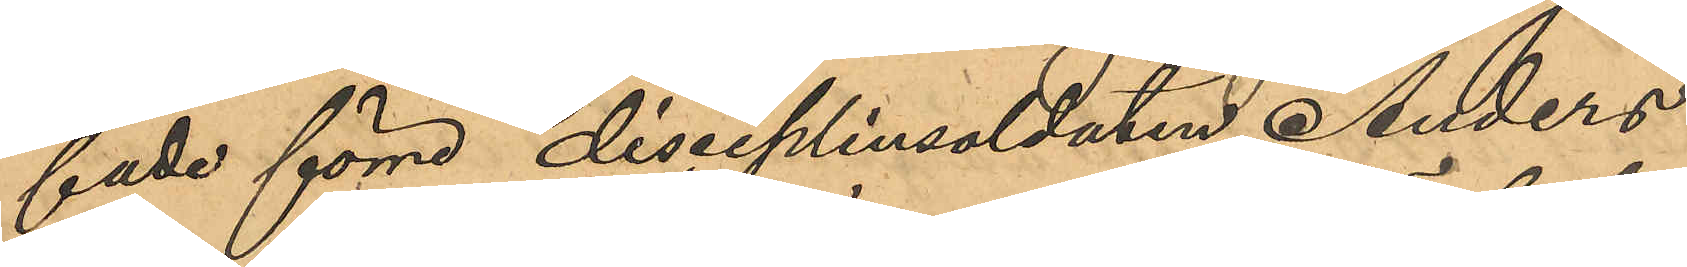fade förre disciplinsoldaten Anders
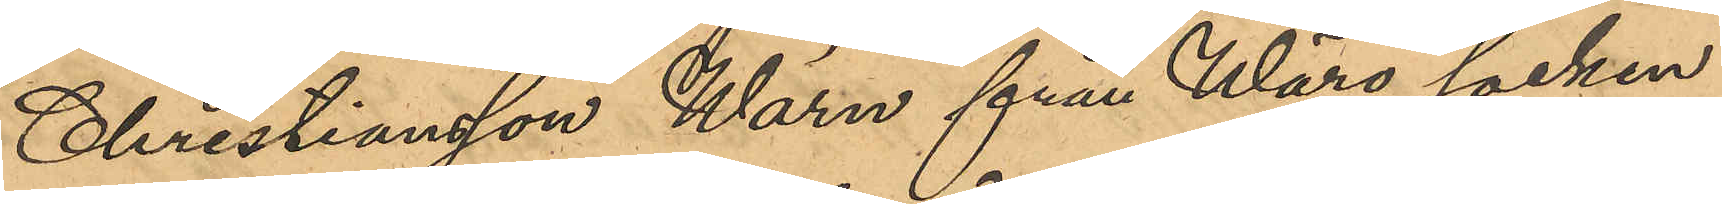Christiansson Wärn från Wårö socken
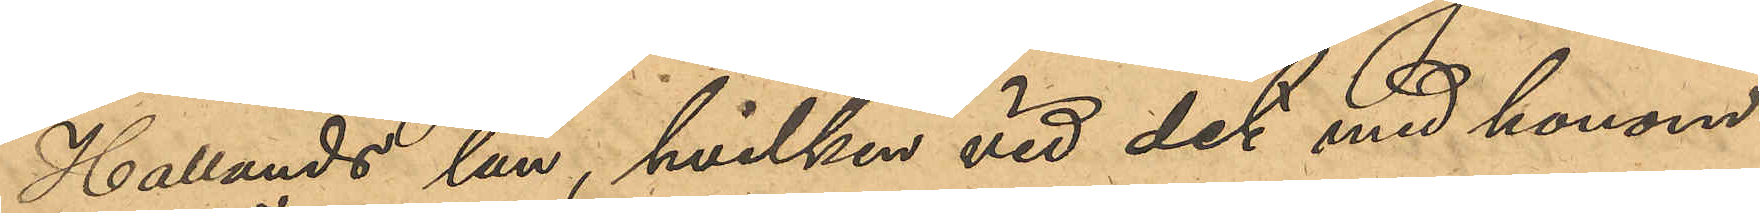Hallands län, hvilken vid det med honom
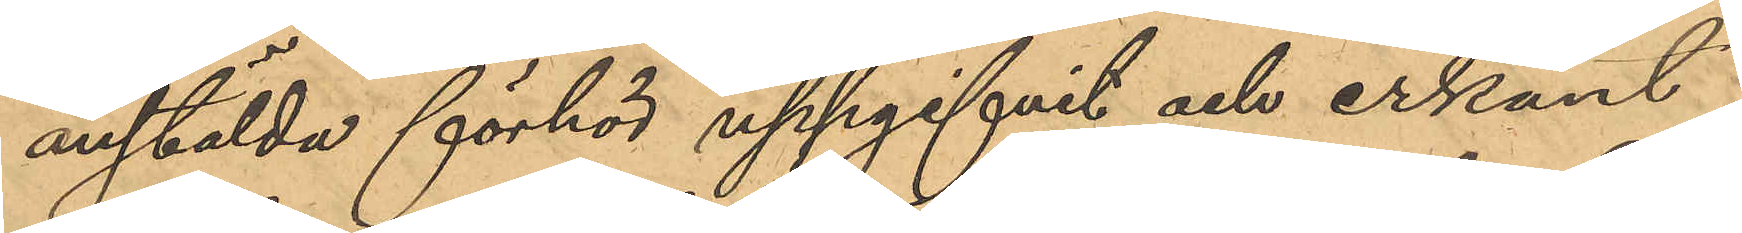anstälda förhör uppgifvit och erkänt:
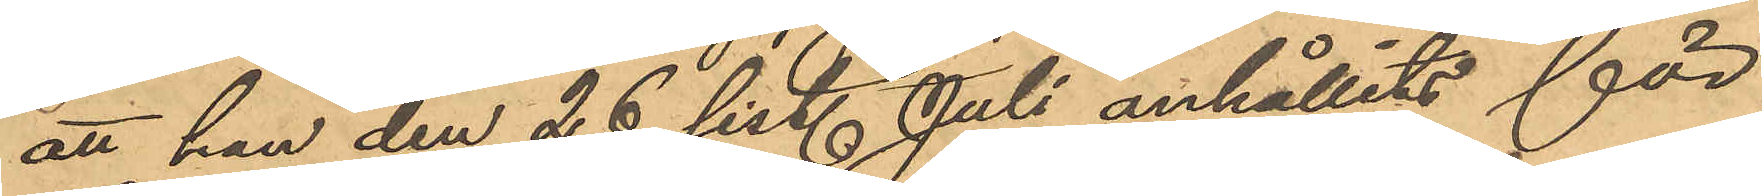att han den 26 sist. Juli anhållits för
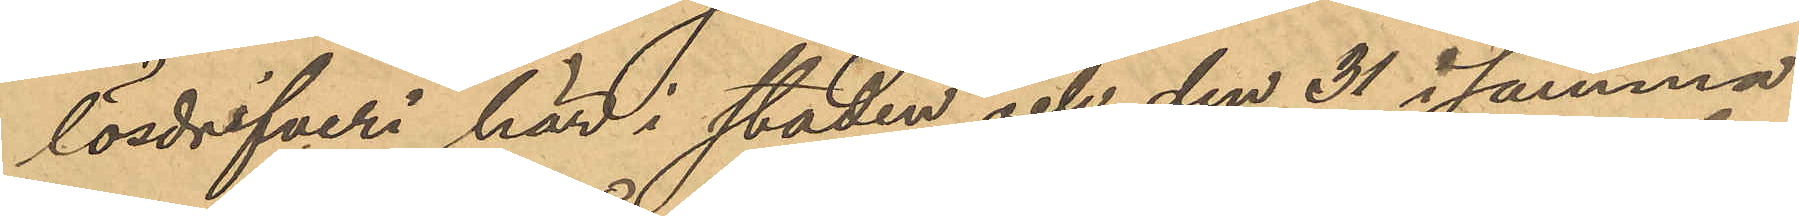lösdrifveri här i staden och den 31 i samma
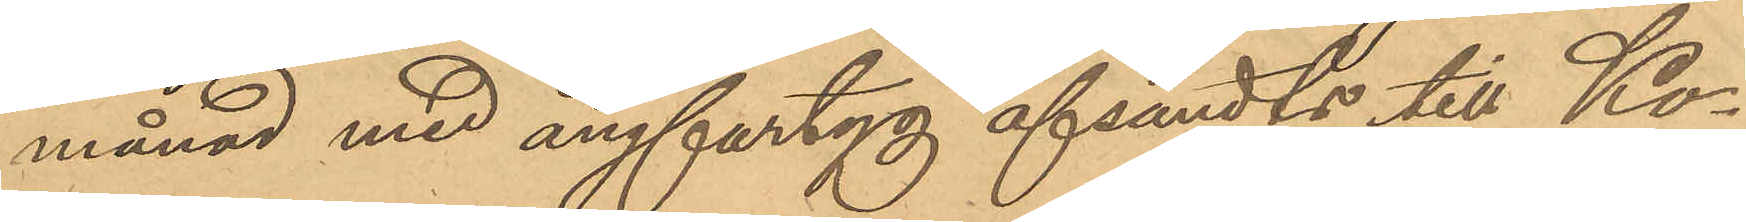månad med ångfartyg afsändts till Ko¬
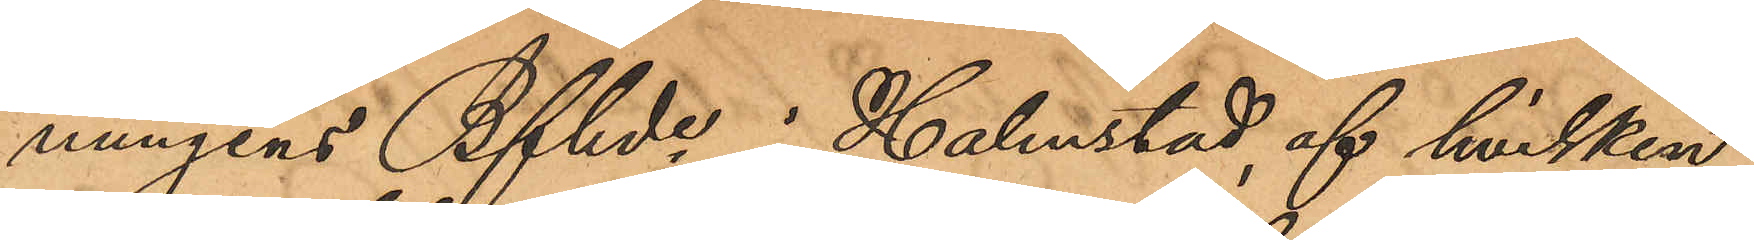nungens Bfhd i Halmstad, af hvilken
